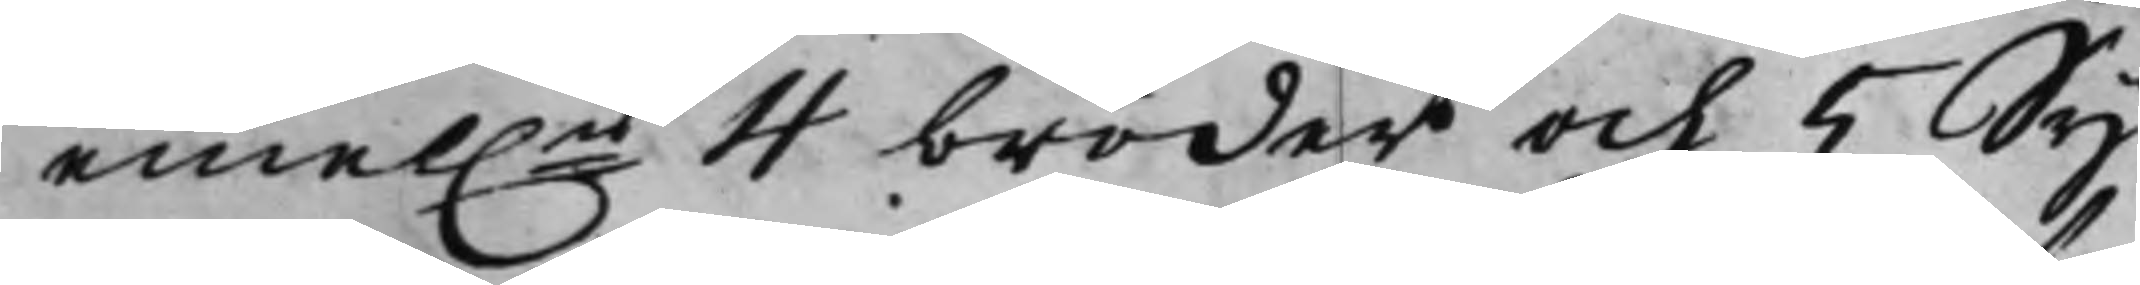emel.n 4 bröder och 5 Sy¬
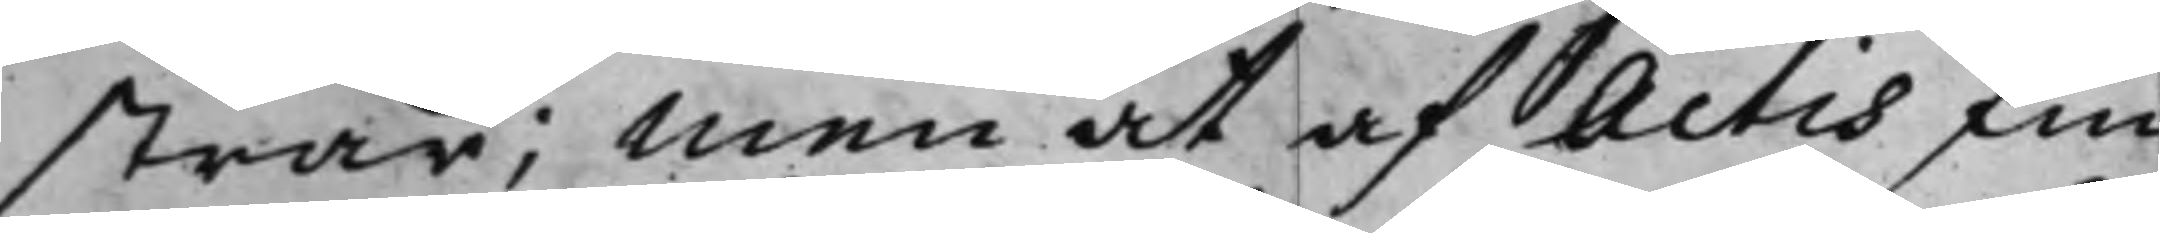strar; Men at af Actis fin¬
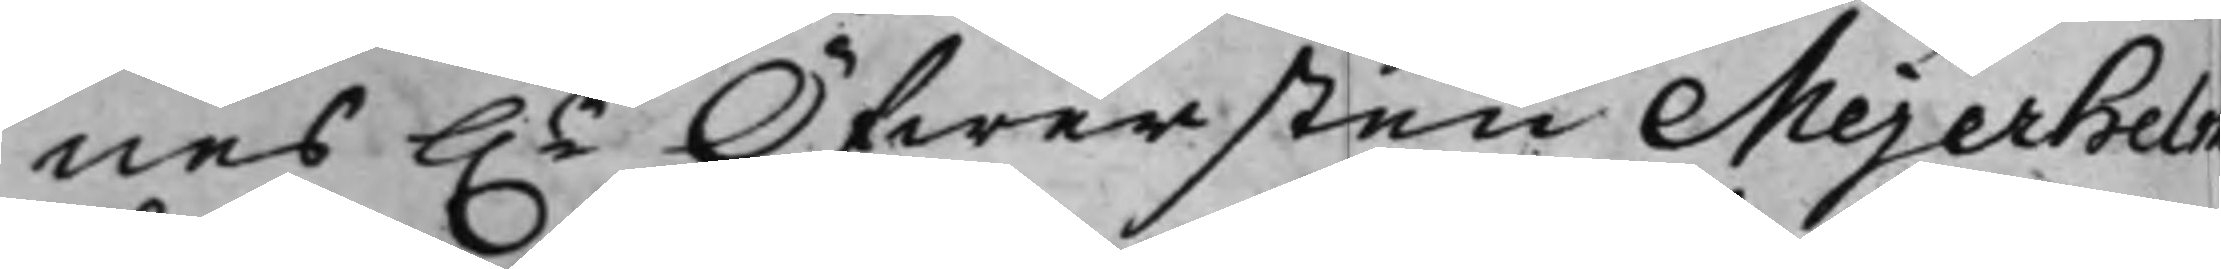nes h.r Öfwersten Mejerhelm
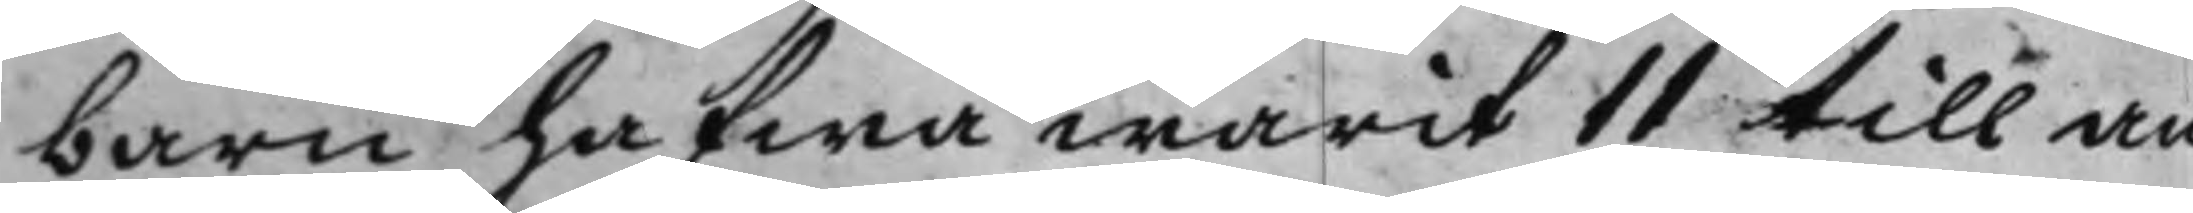barn hafwa warit 11 till an¬
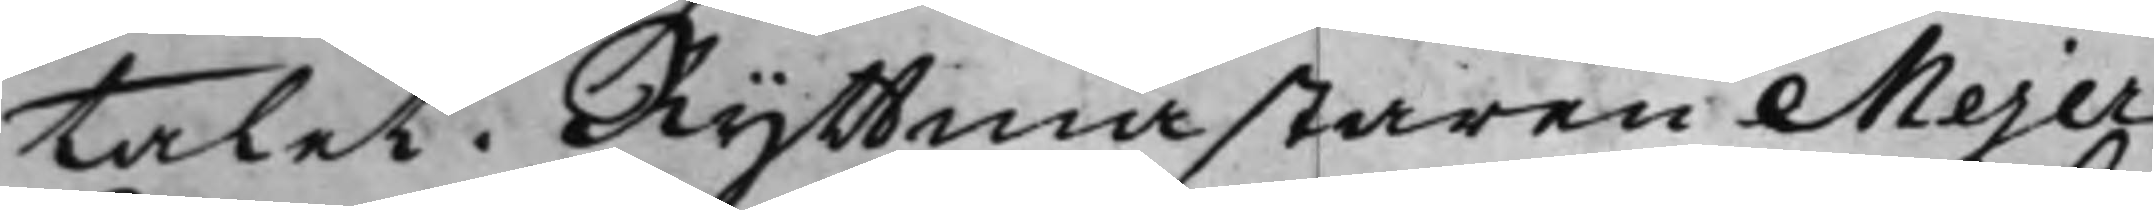talet. Ryttmästaren Mejer¬
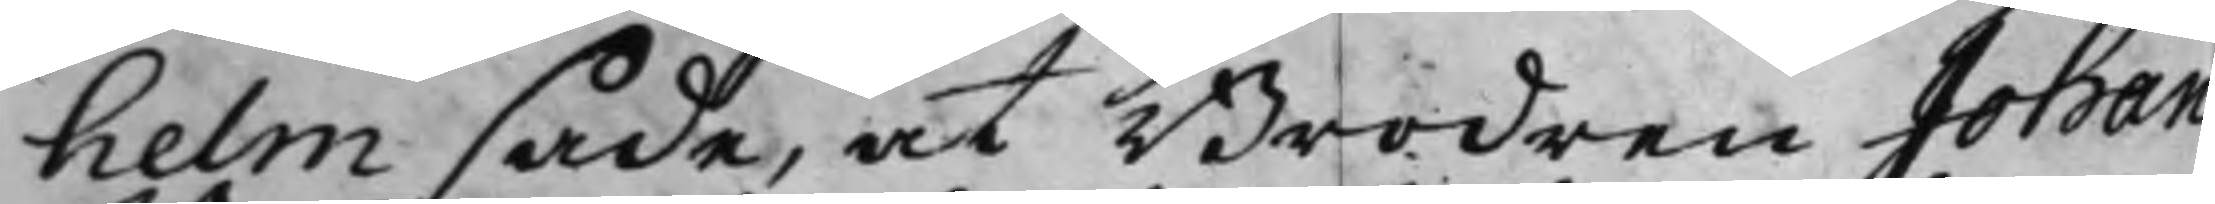helm sade, at Brodren Johan
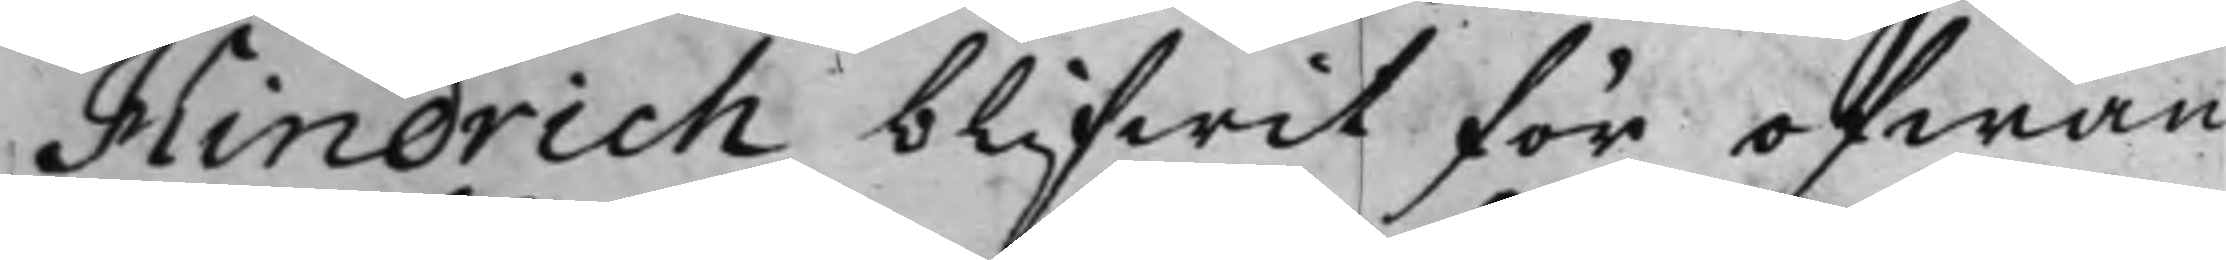Hindrich blifwit för ofwan
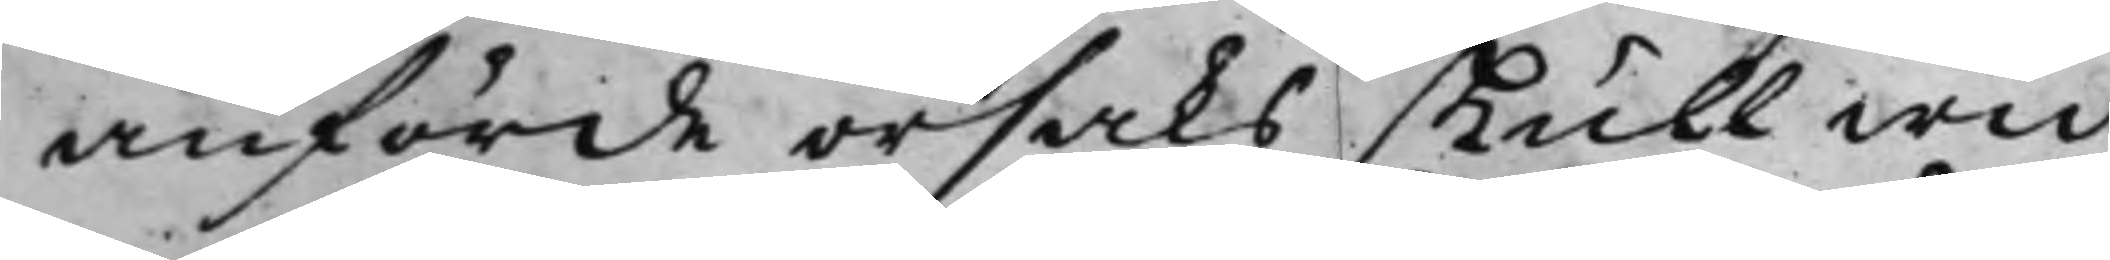anförde orsaks skull wid
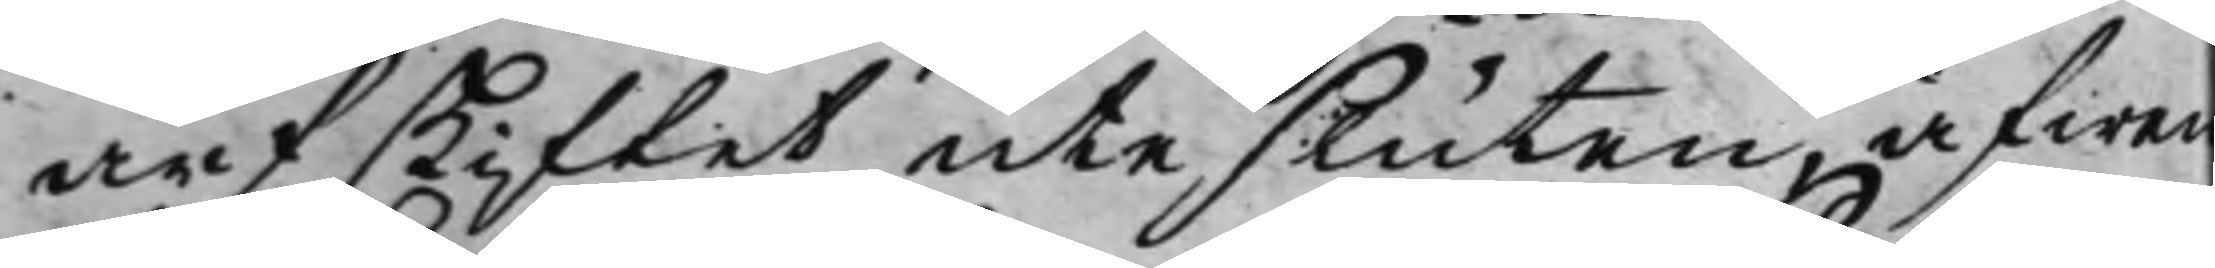arfskiftet utesluten, äfwen
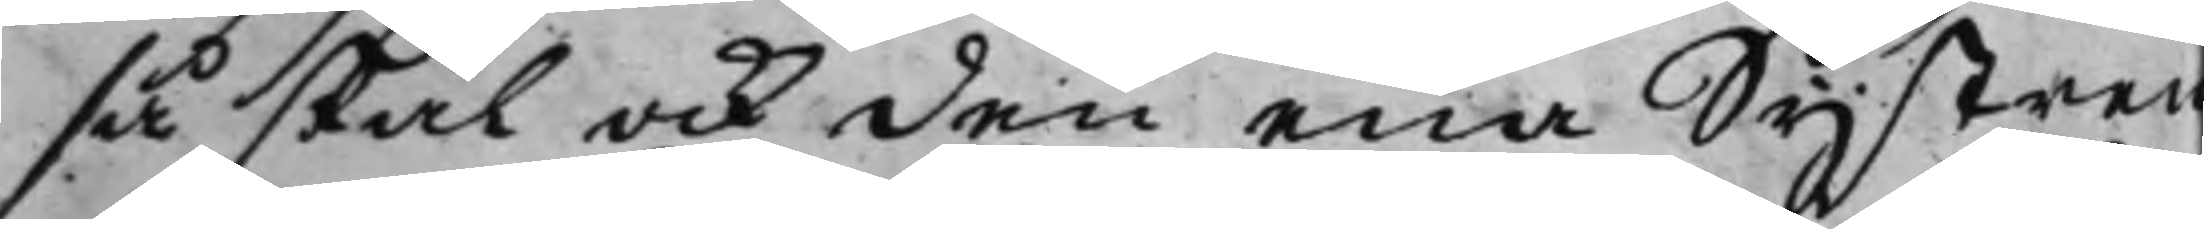så skal ock den ena Systren
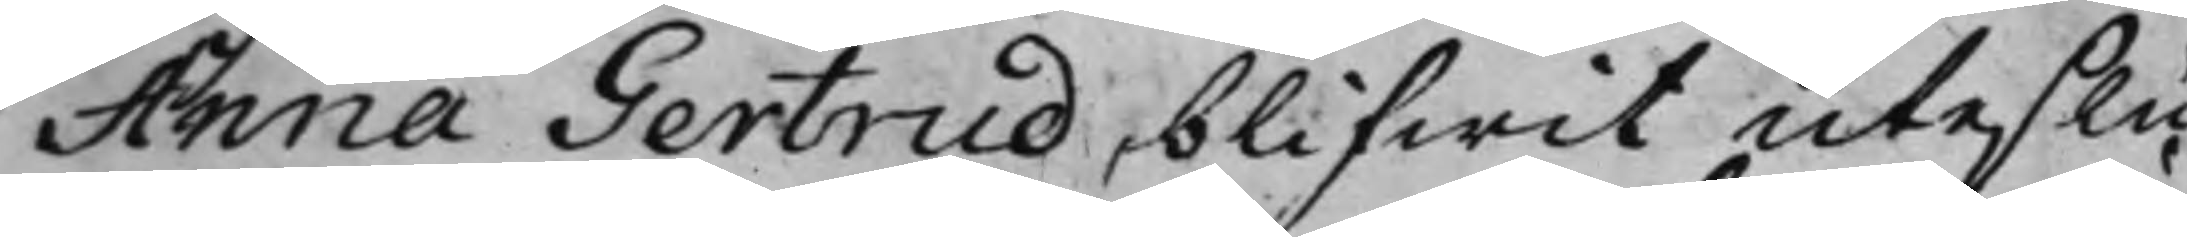Anna Gertrud blifwit uteslu¬
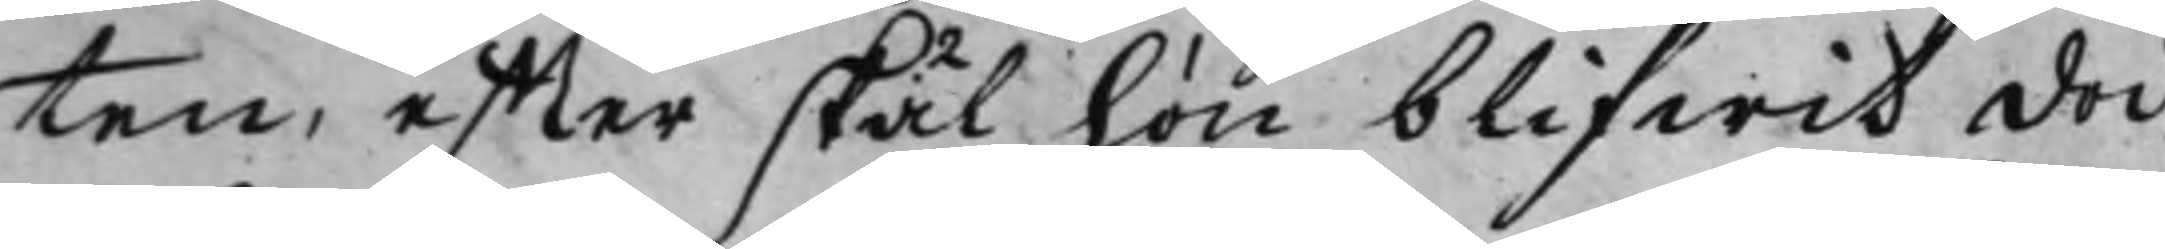ten, effter skäl hon blifwit död,
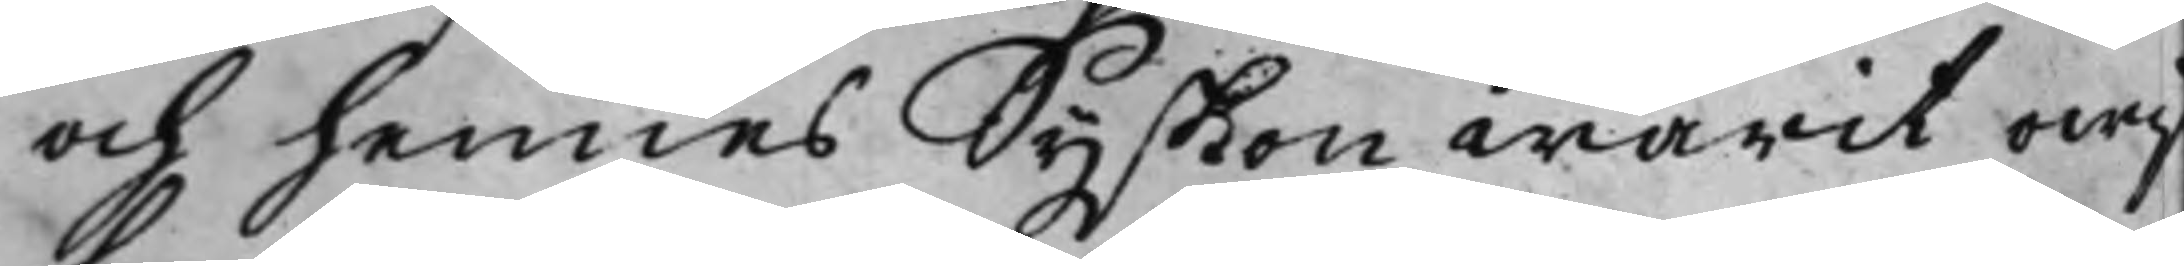och hennes Syskon warit owis¬
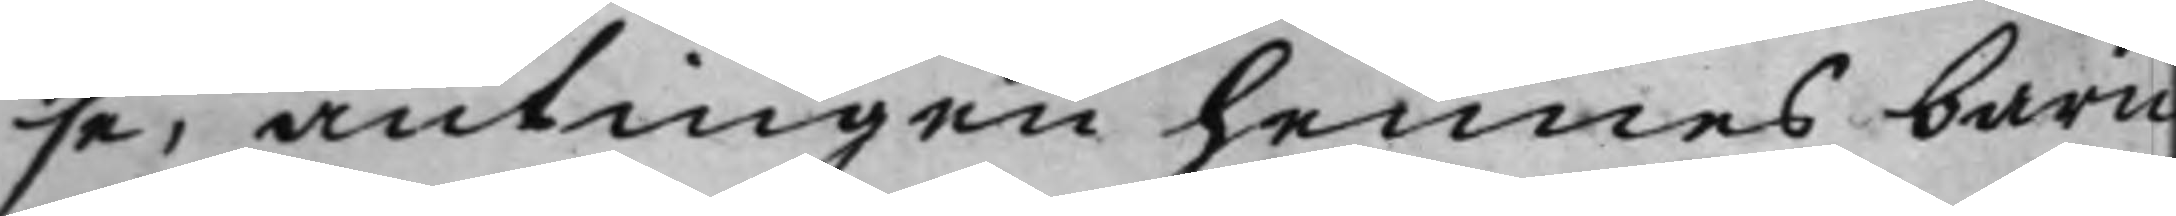se, antingen hennes barn
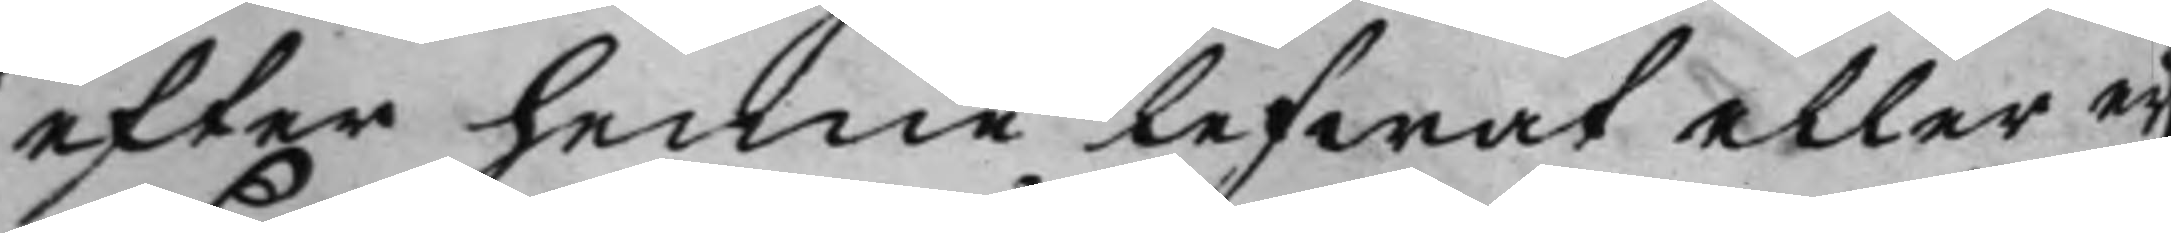efter henne lefwat eller eij
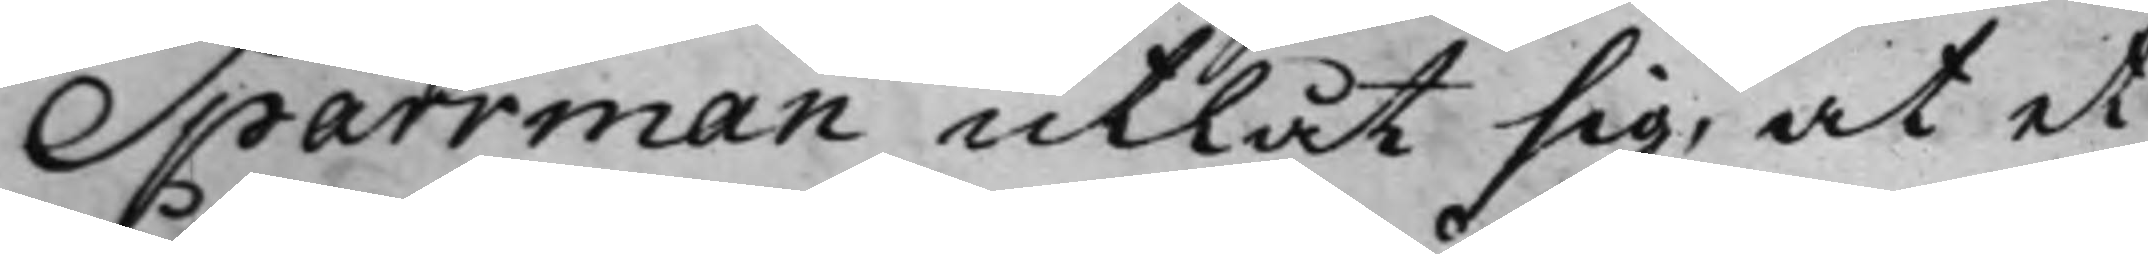Sparrman utlät sig, at et
